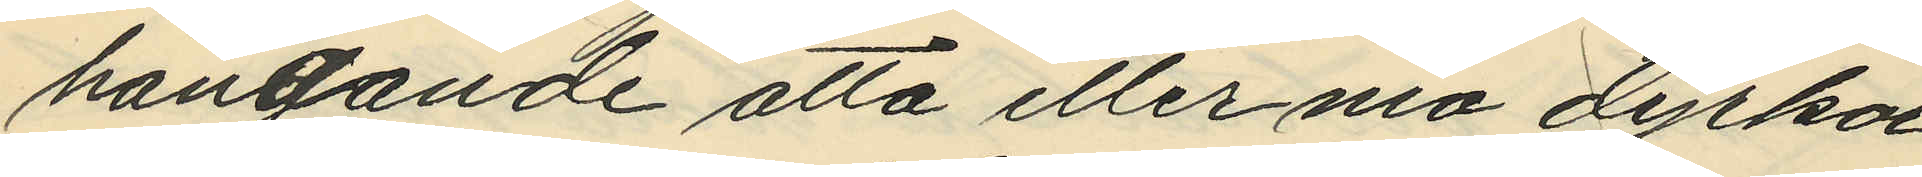hängande åtta eller nio dyrkar
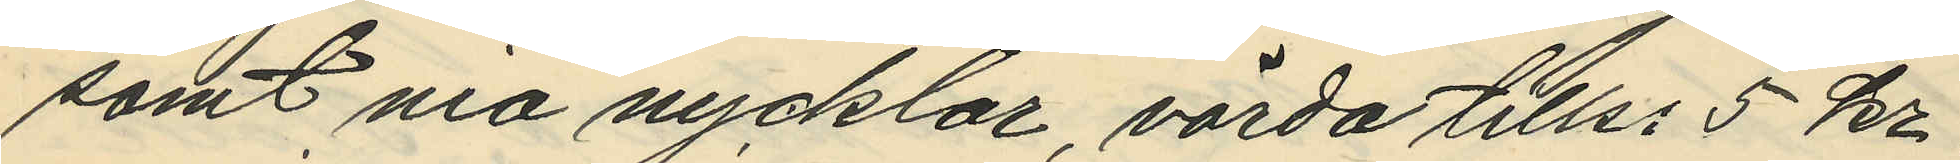samt nio nycklar, värda tills. 5 kr.
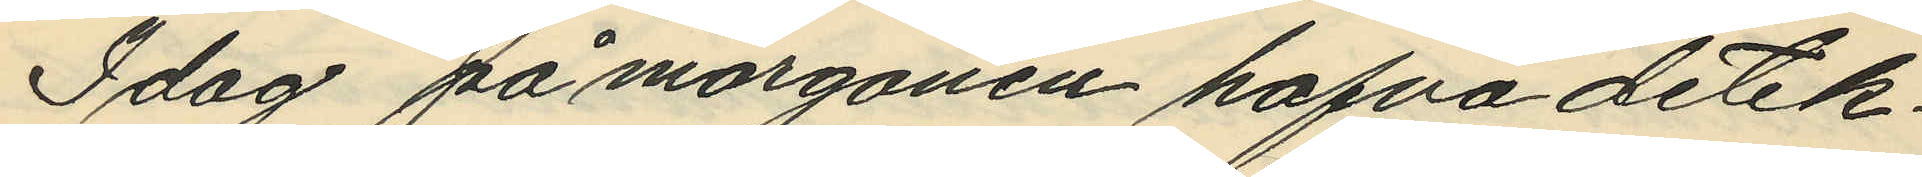Idag på morgonen hafva detek¬
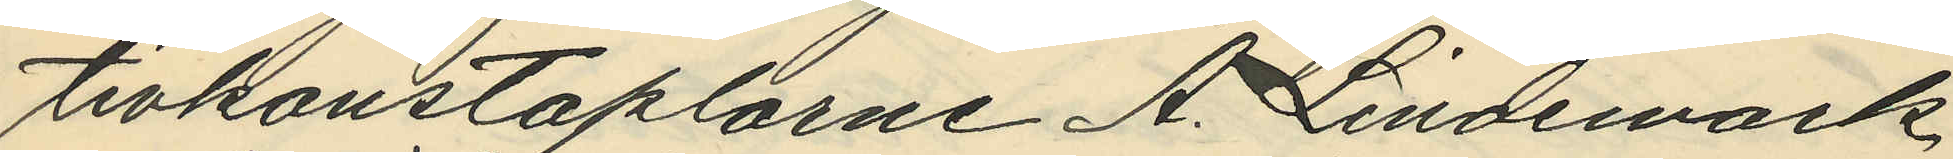tivkonstaplarne A. Lindemark
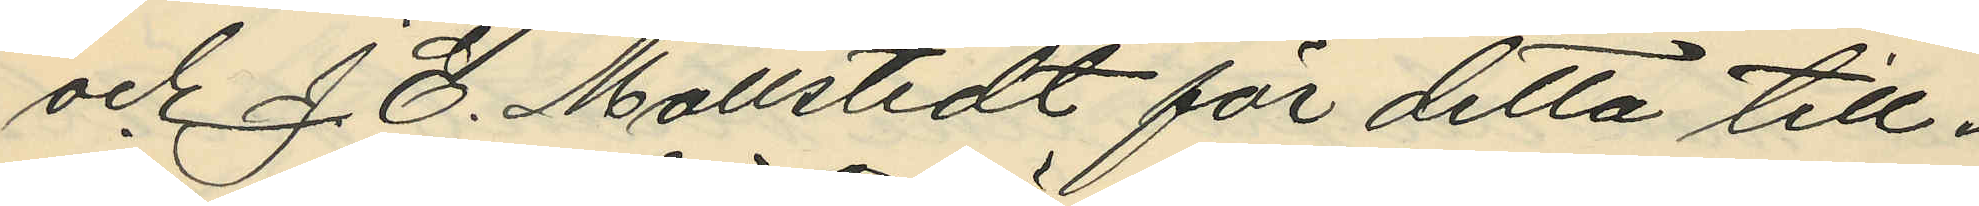och J. E. Mollstedt för detta till¬
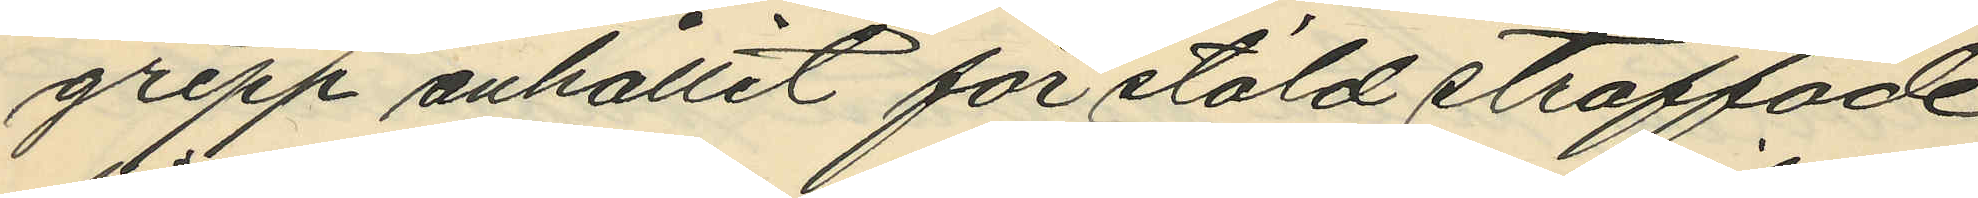grepp anhållit för stöld straffade
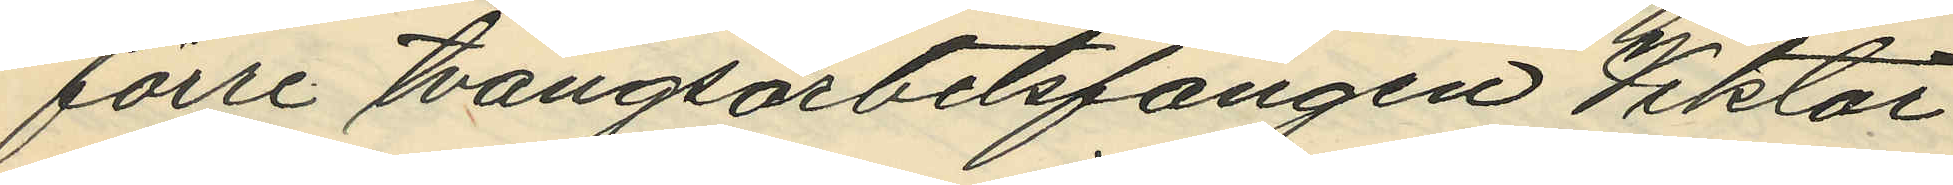förre tvångsarbetsfången Viktor
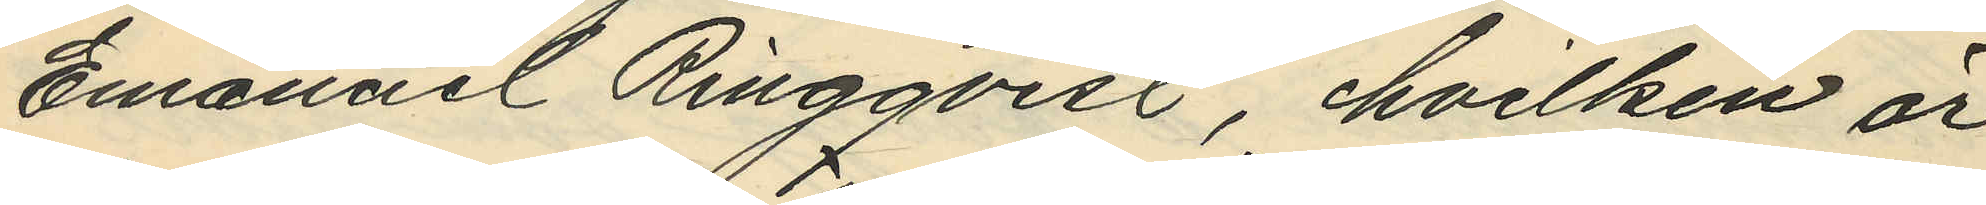Emanuel Ringqvist, hvilken är
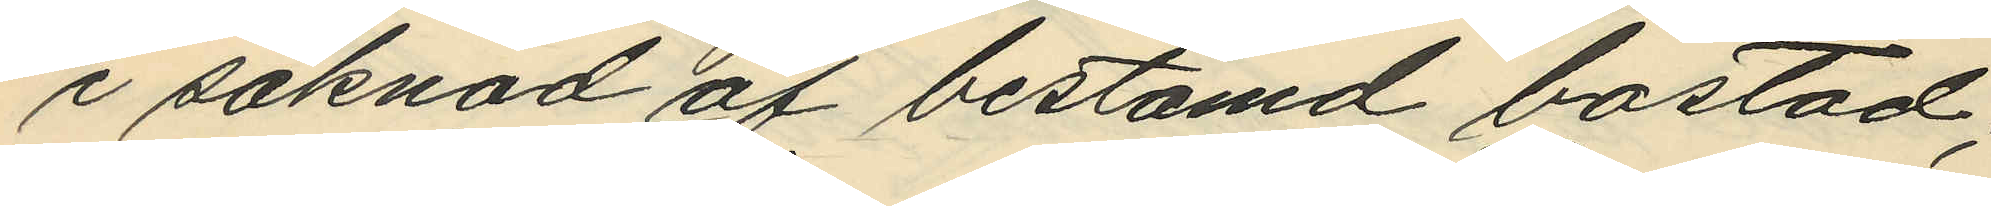i saknad af bestämd bostad;
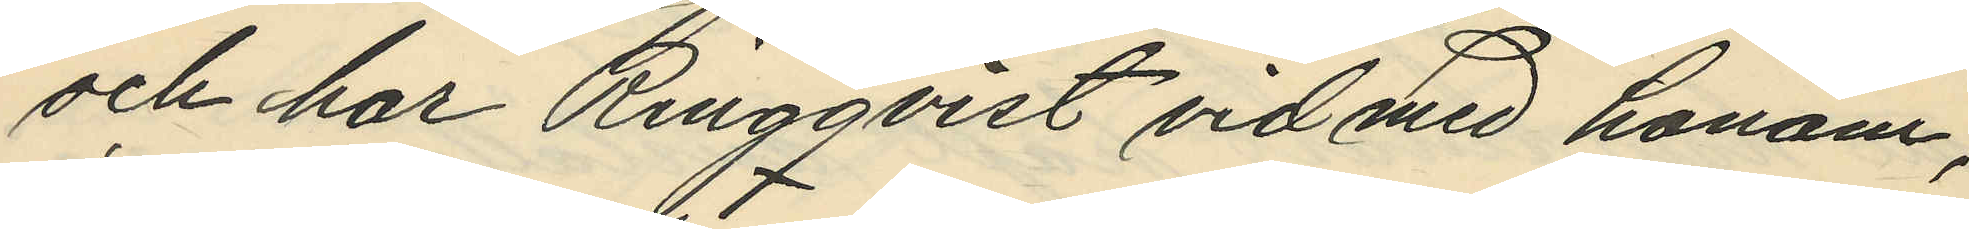och har Ringqvist vid med honom,
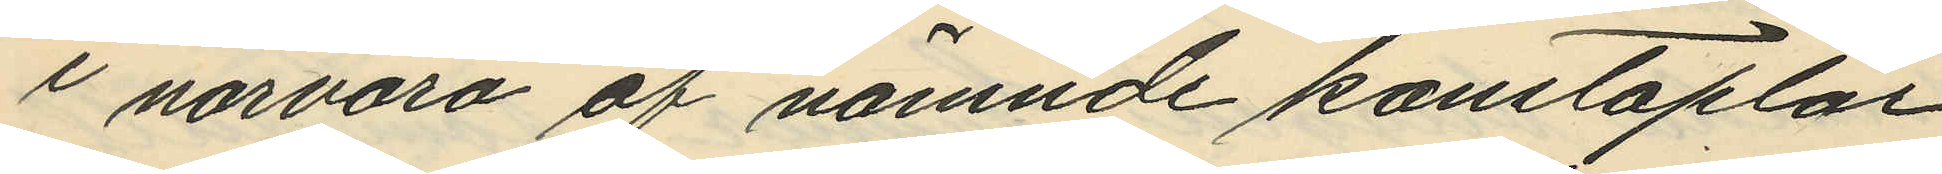i närvaro af nämnde konstaplar,
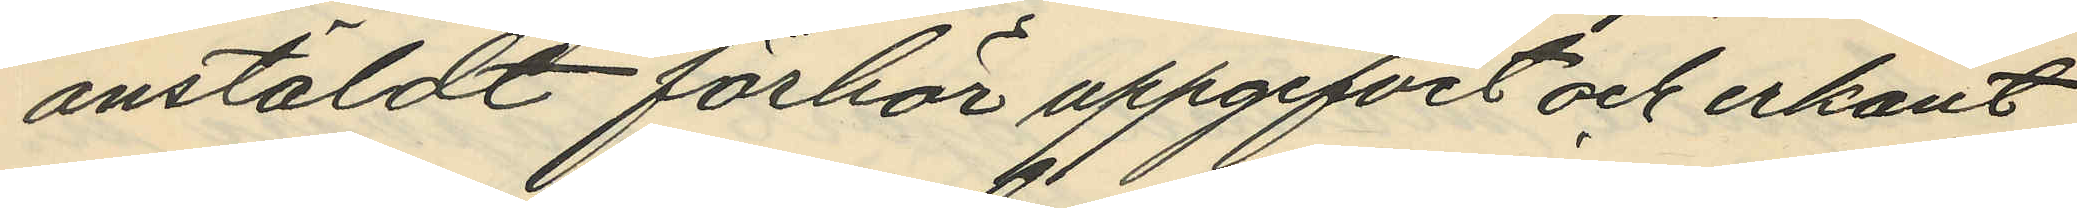anstäldt förhör uppgifvit och erkänt
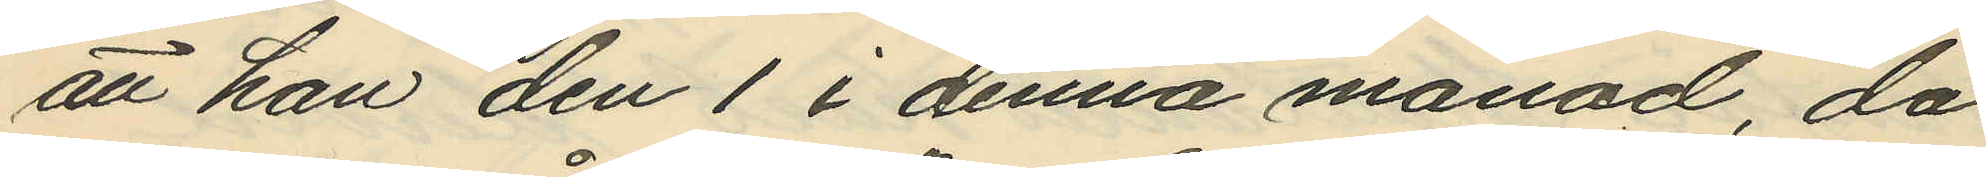att han den 1 i denna månad, då
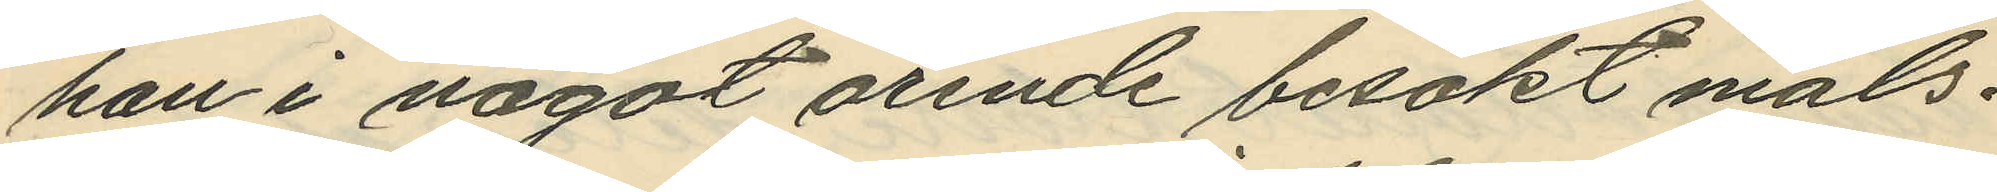han i något ärende besökt måls¬
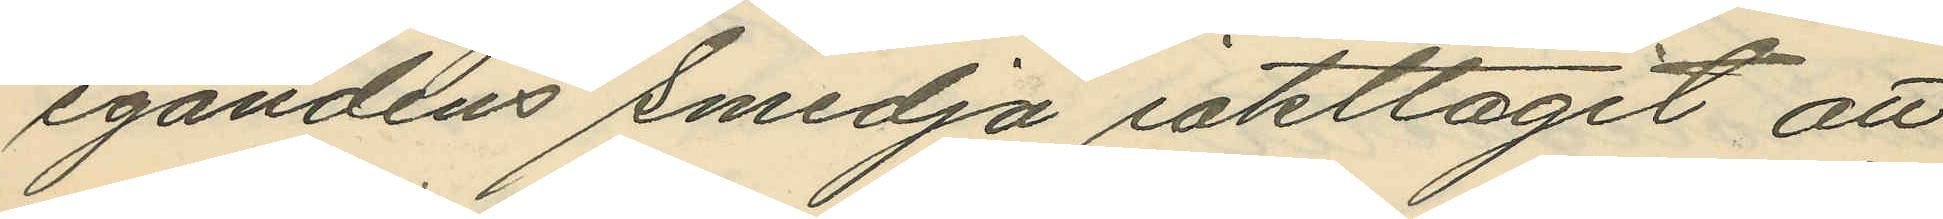egandens smedja iakttagit att
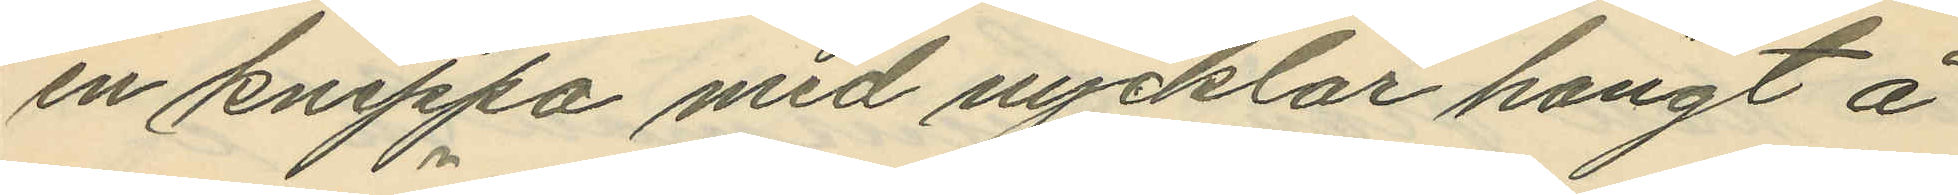en knippa med nycklar hängt å
